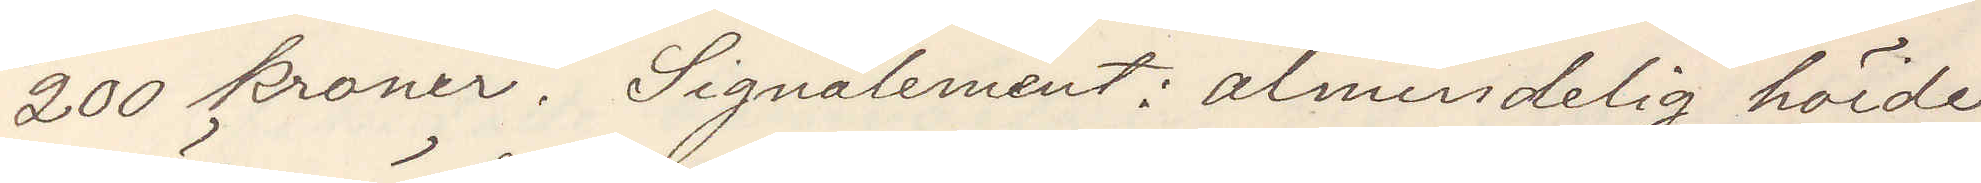200 kroner. Signalement almindelig höide,
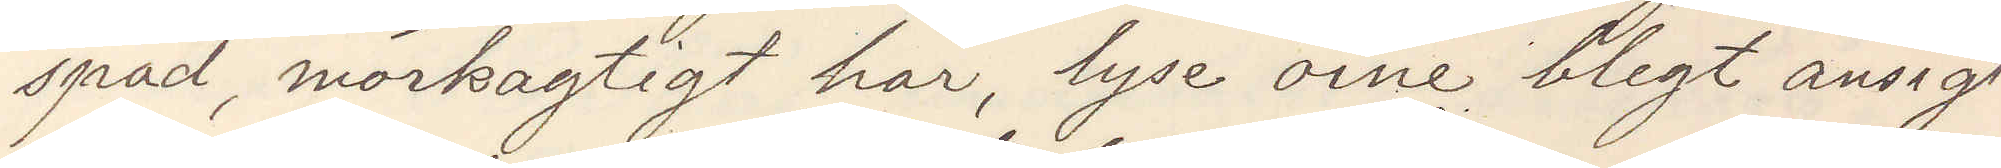späd, mörkagtigt hår, lyse öine blegt ansigt
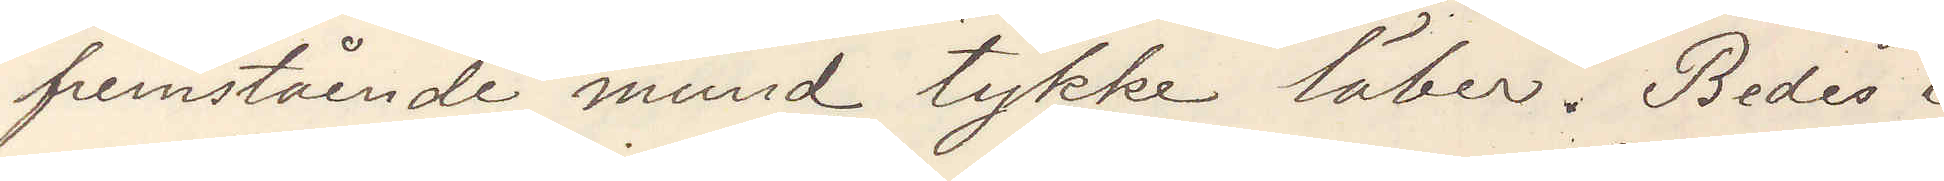fremstående mund tykke läber. Bedes i
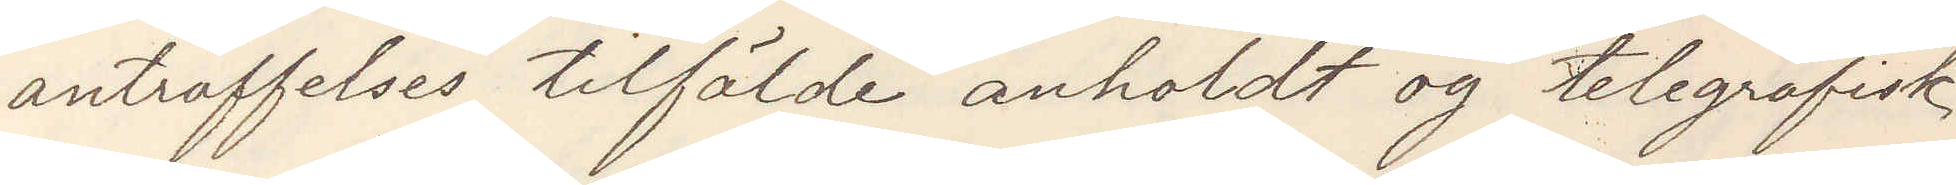anträffelses tilfälde anholdt og telegrafisk
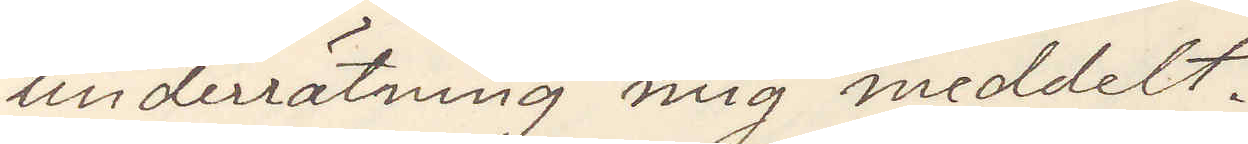underrätning mig meddelt.
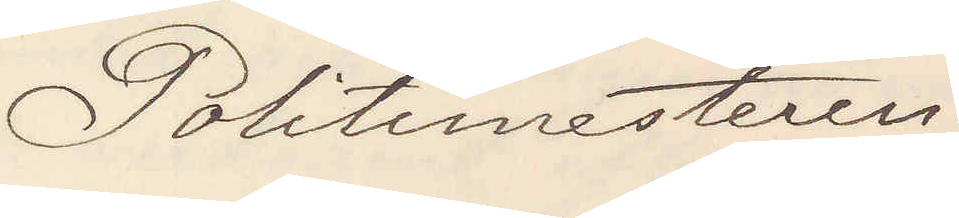Politimesteren
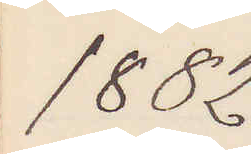1882
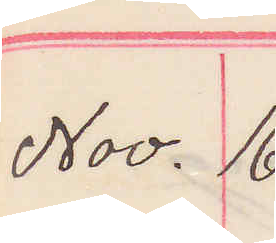Nov. 16.
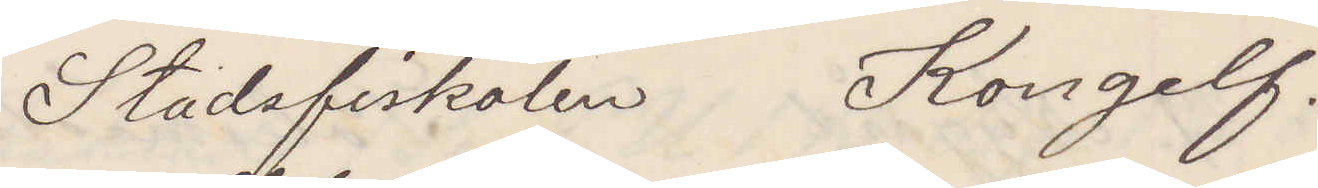Stadsfiskalen Kongelf.
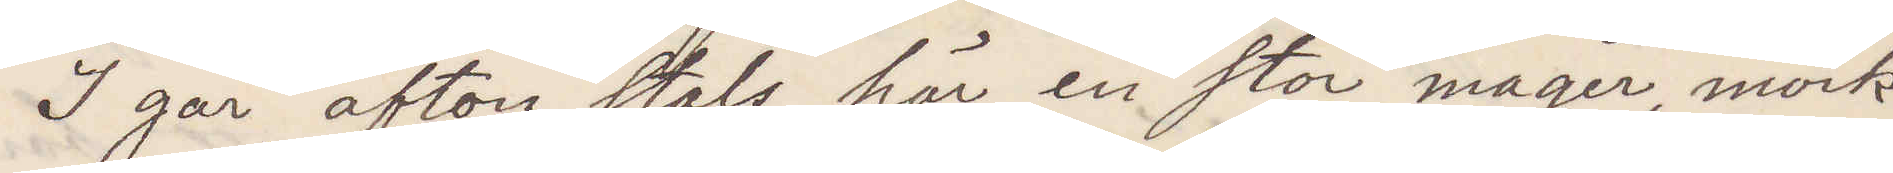I går afton stals här en stor mager, mörk¬
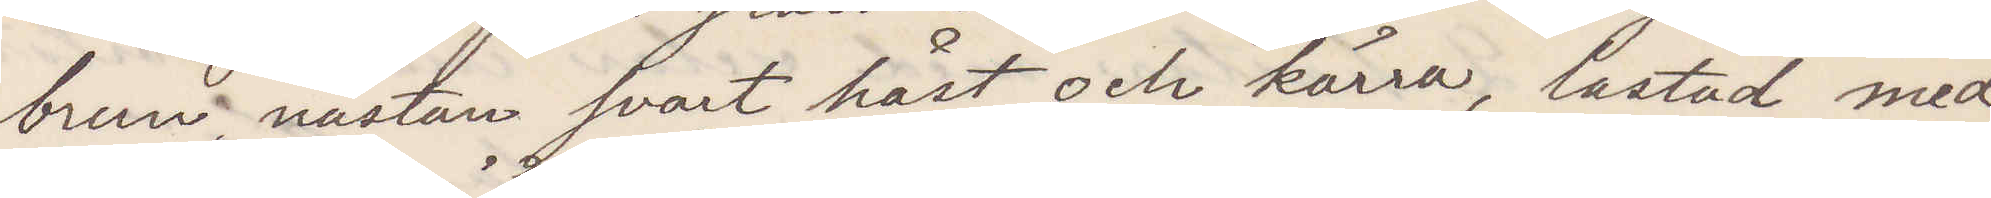brun, nästan svart häst och kärra, lastad med
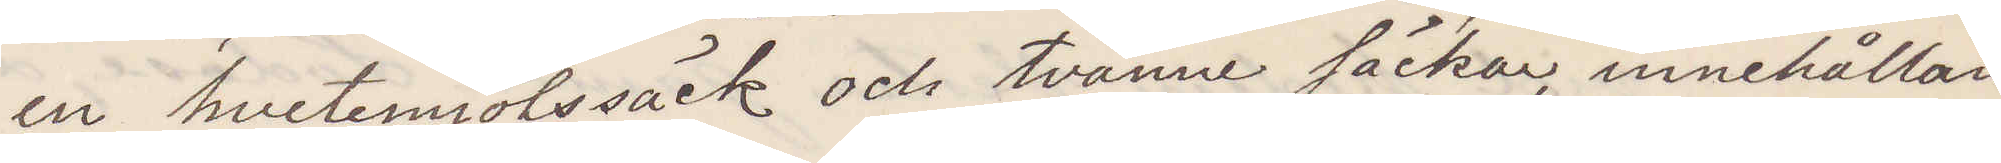en hvetemjölssäck och tvänne säckar, innehållan¬
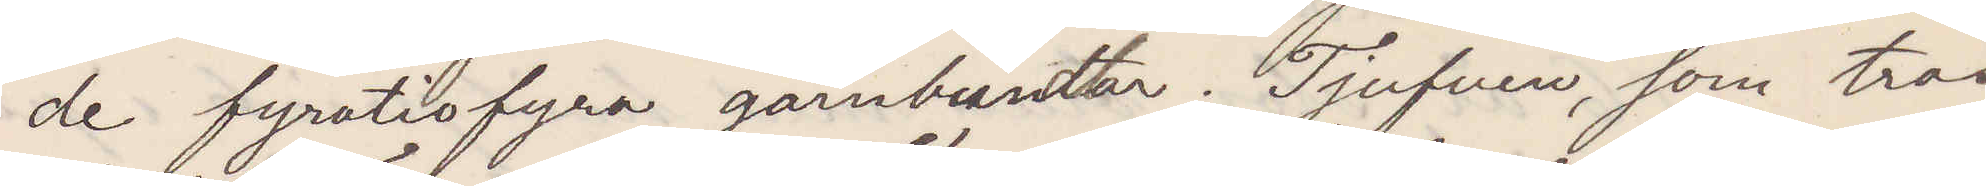de fyrtiofyra garnbundtar. Tjufven, som tros
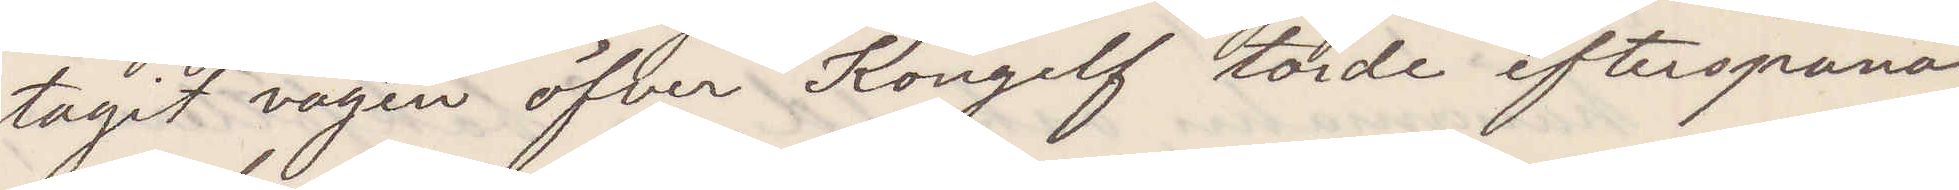tagit vägen öfver Kongelf torde efterspanas
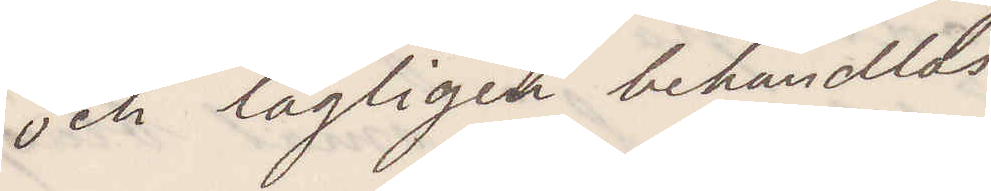och lagligen behandlas.
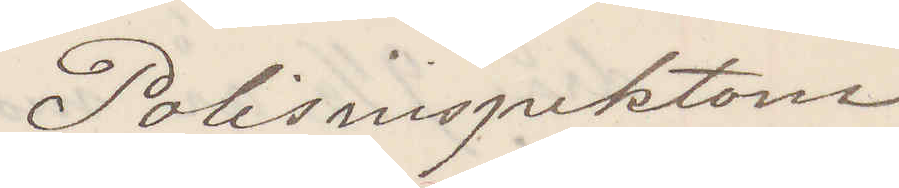Polisinspektoren
